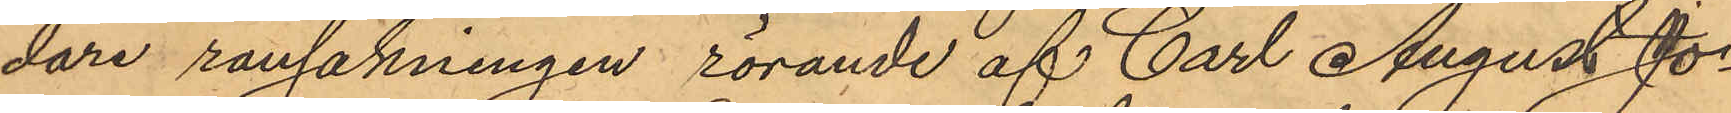dare rannsakningen rörande af Carl August Jo¬
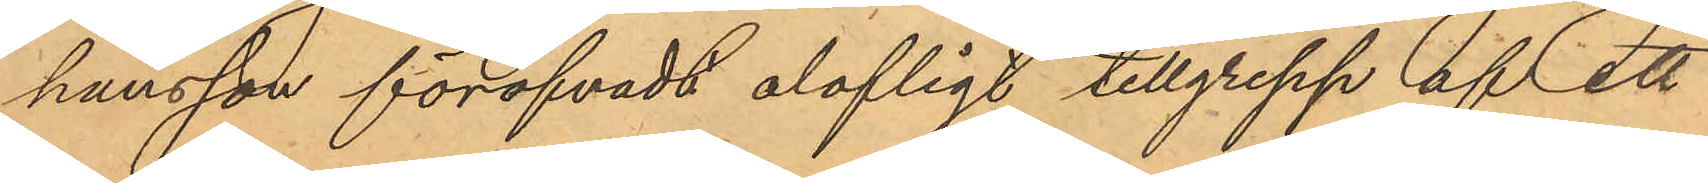hansson föröfvadt olofligt tillgrepp af ett
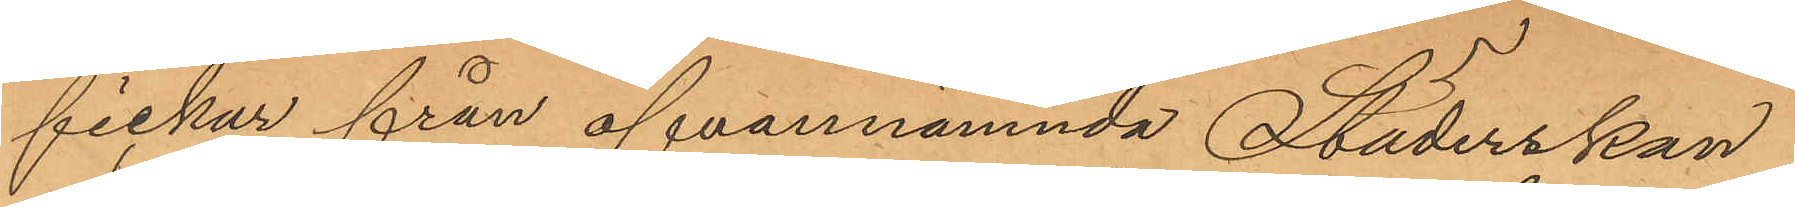fickur från ofvannämnda Städerskan
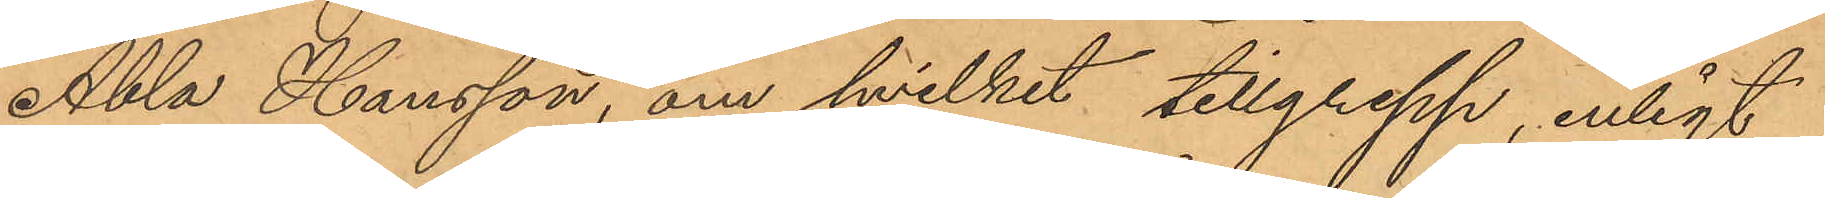Abla Hansson, om hvilket tillgrepp, enligt
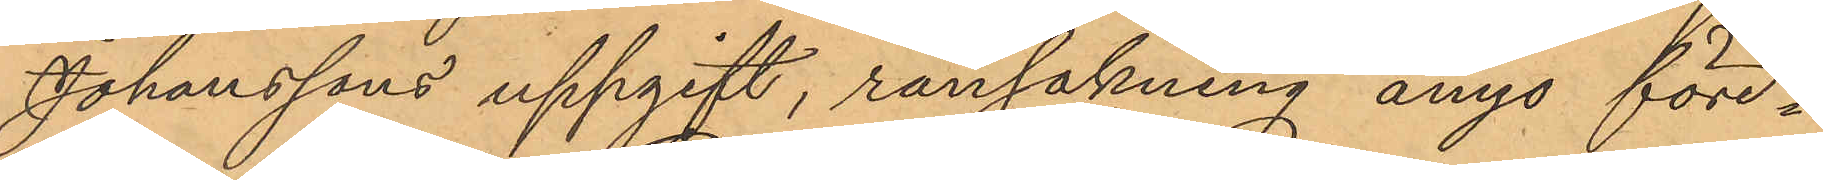Johanssons uppgift, ransakning ånyo före¬
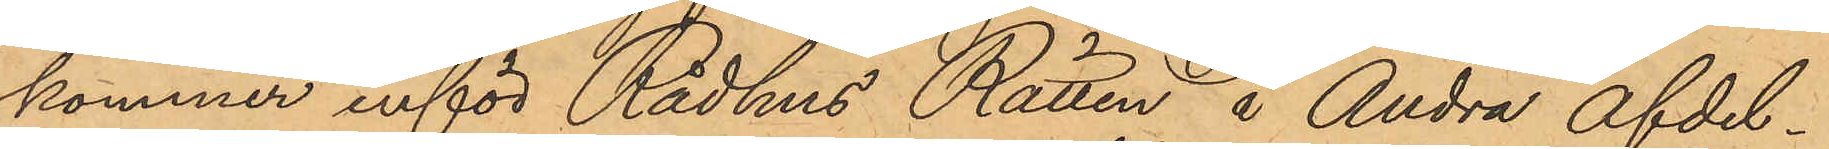kommer inför Rådhus Rätten å Andra afdel¬
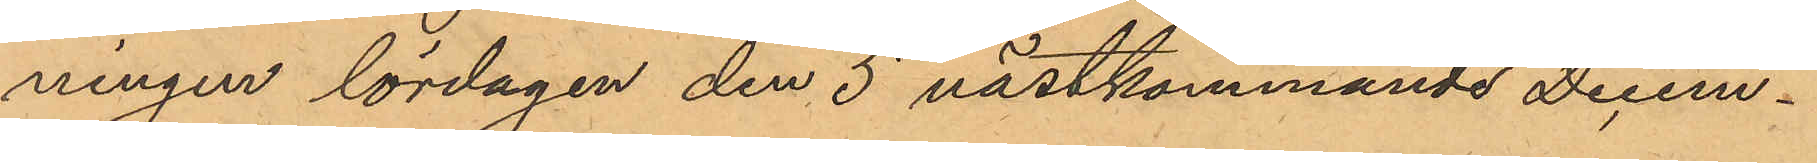ningen lördagen den 5 nästkommande Decem¬
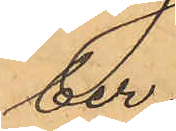ber.
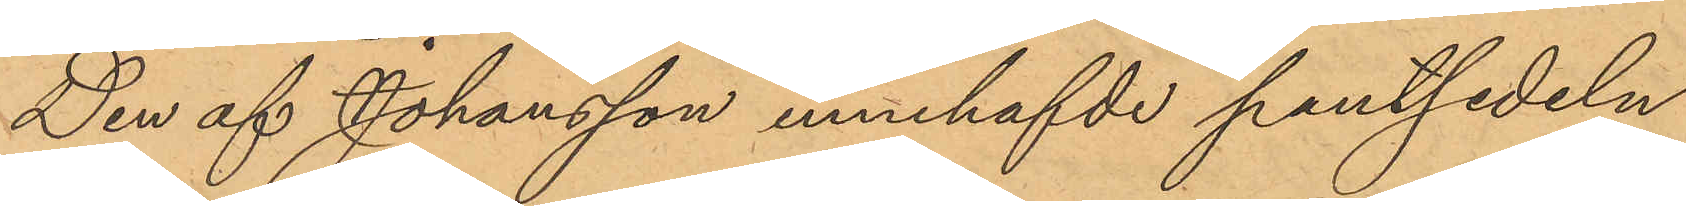Den af Johansson innehafde pantsedeln
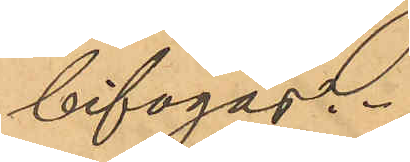bifogas.
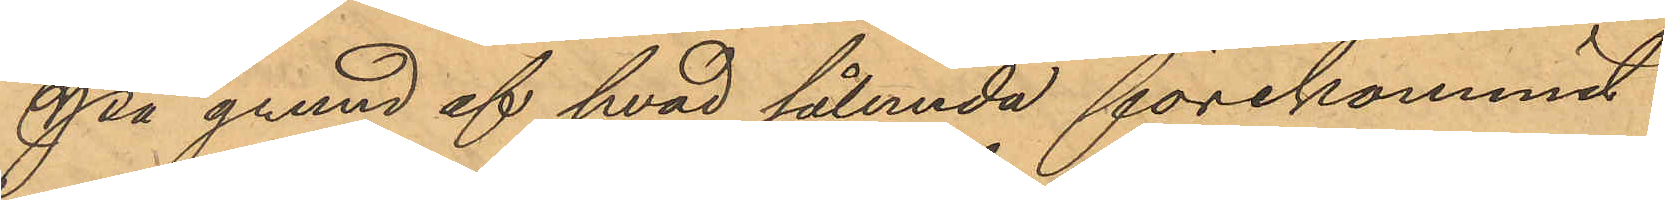På grund af hvad sålunda förekommit
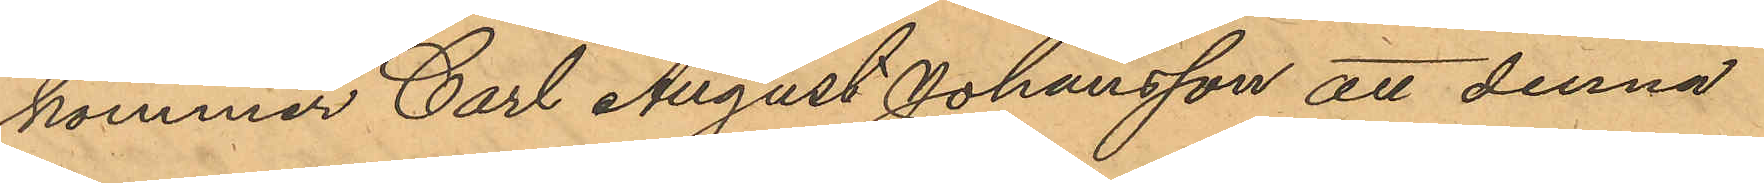kommer Carl August Johansson att denna
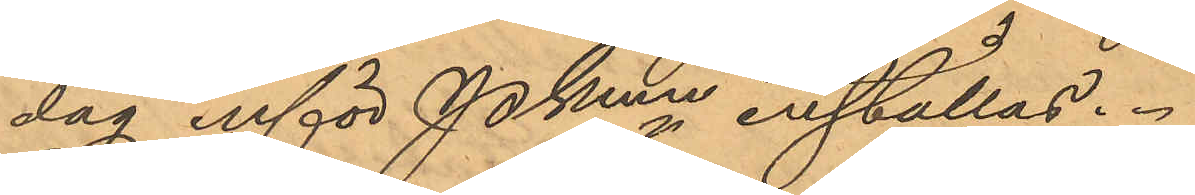dag inför Pkmn inställas.
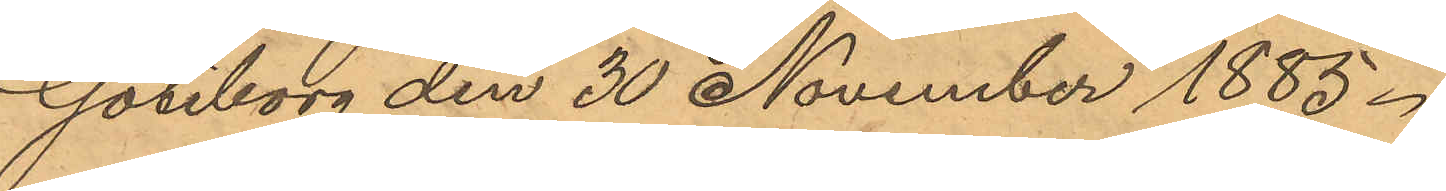Göteborg den 30 November 1885.
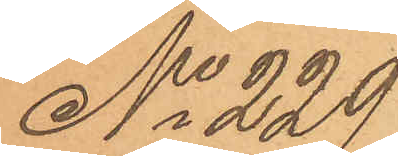No 229
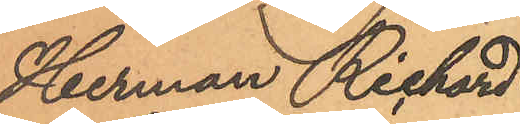Herman Richard
